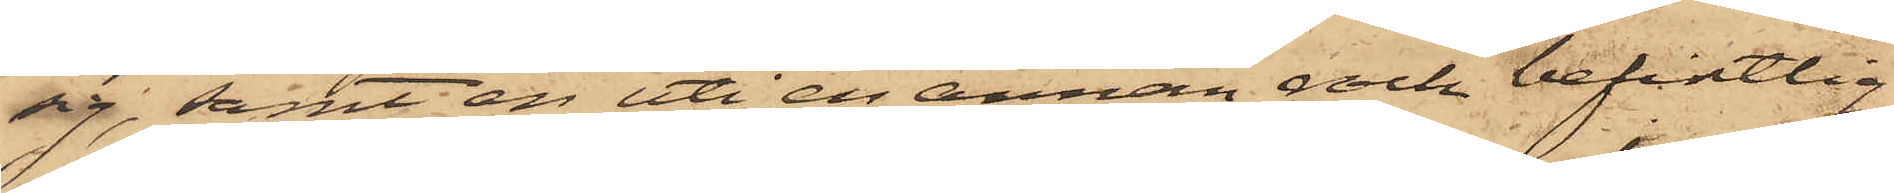sig; samt en uti en annan rock befintlig
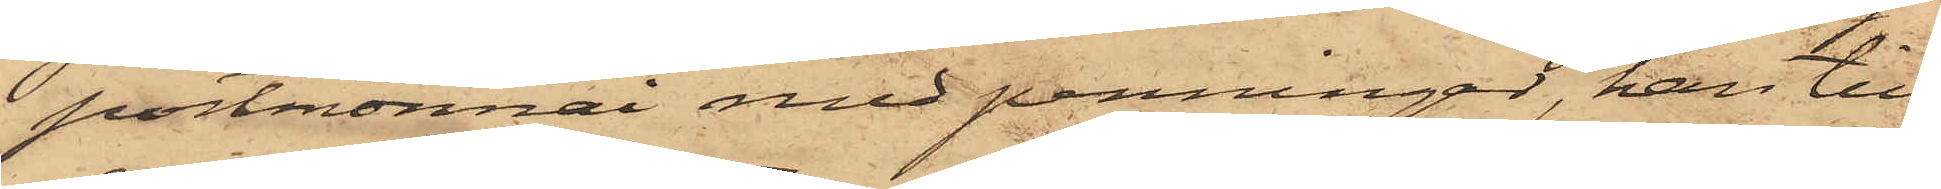portmonnai med penningar, han till¬
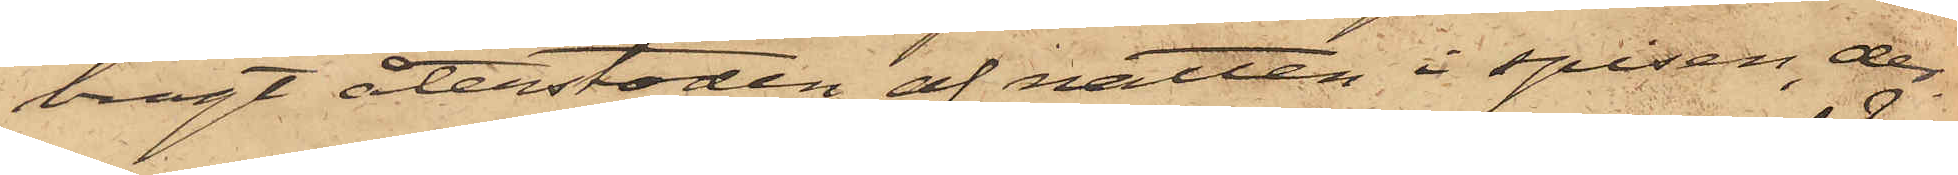bragt återstoden af natten i spisen, der¬
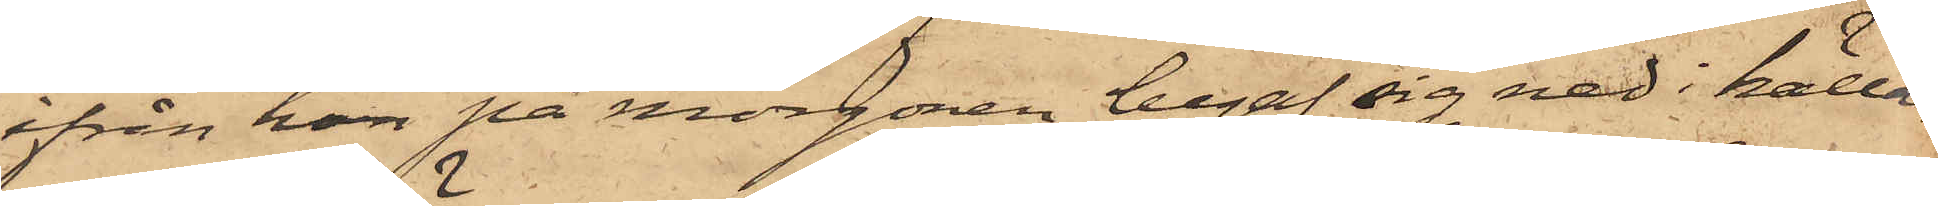ifrån han på morgonen begaf sig ned i källa¬
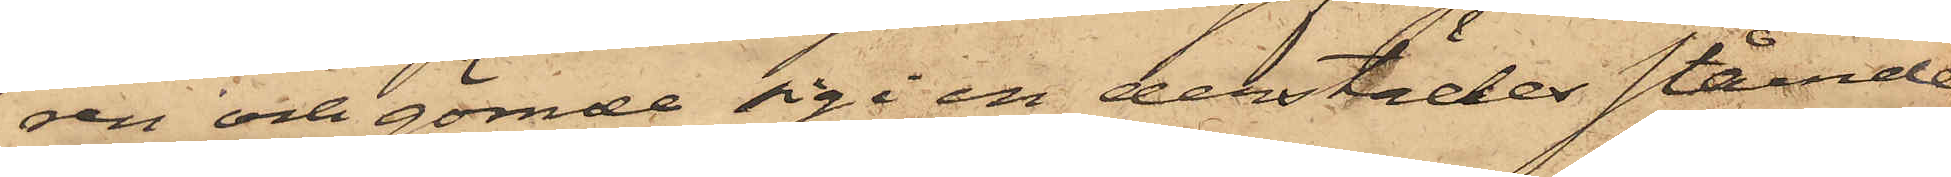ren och gömde sig i en derstädes stående
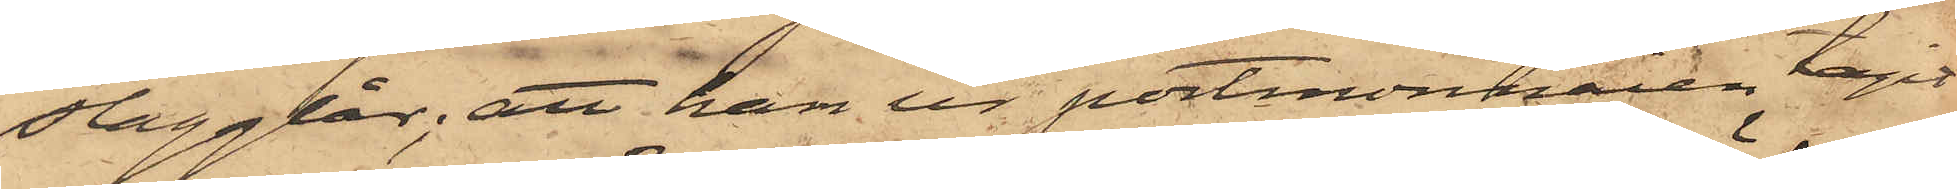slagglår; att han ur portmonnaien tagit
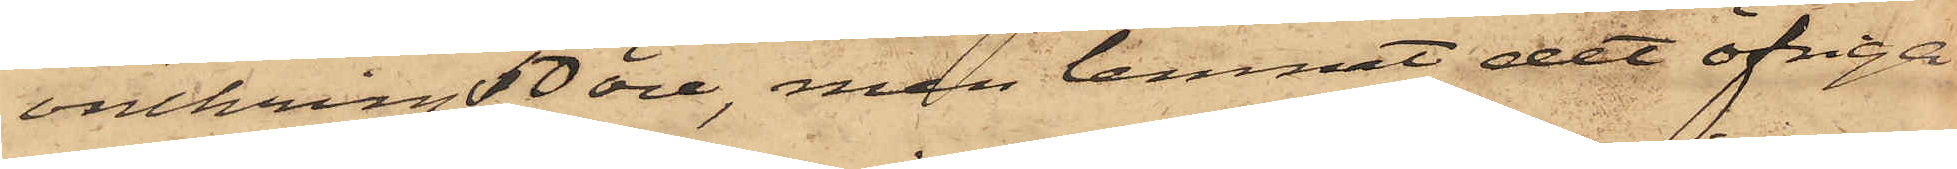omkring 50 öre, men lemnat det öfriga
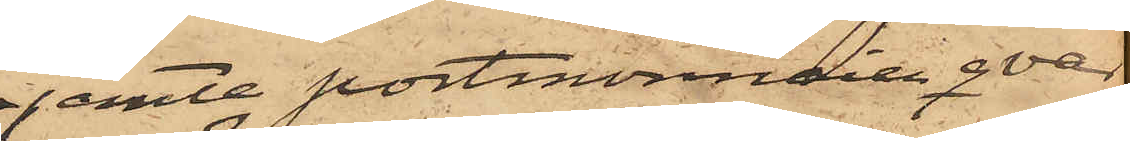jemte portmonnaien qvar
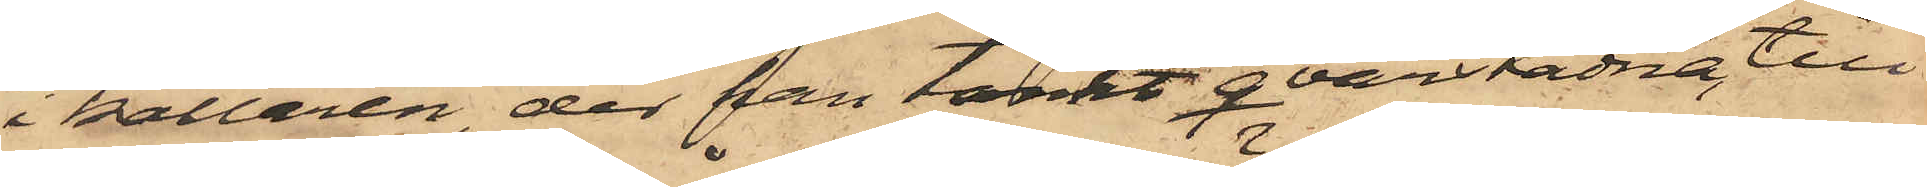i källaren, der han tänkt qvarstadna, till
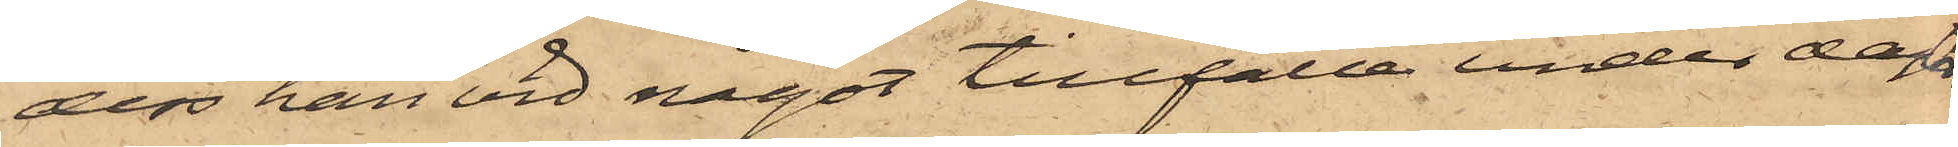dess han vid något tillfälle under dagen
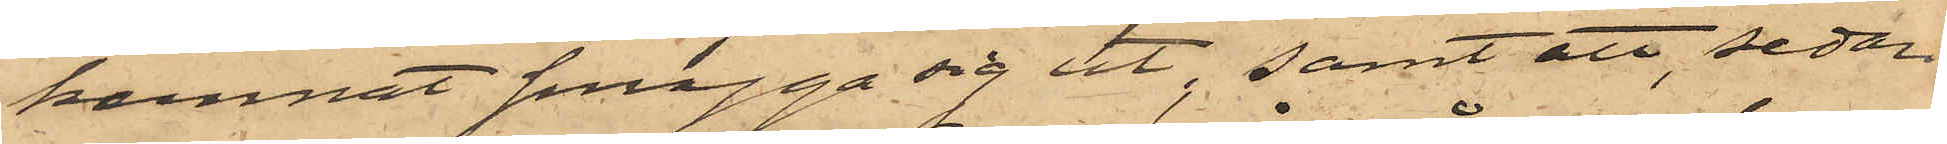kunnat smyga sig ut, samt att, sedan
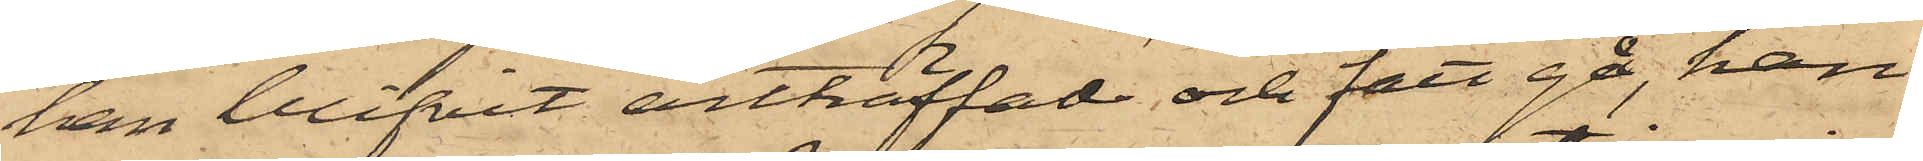han blifvit anträffad och fått gå, han
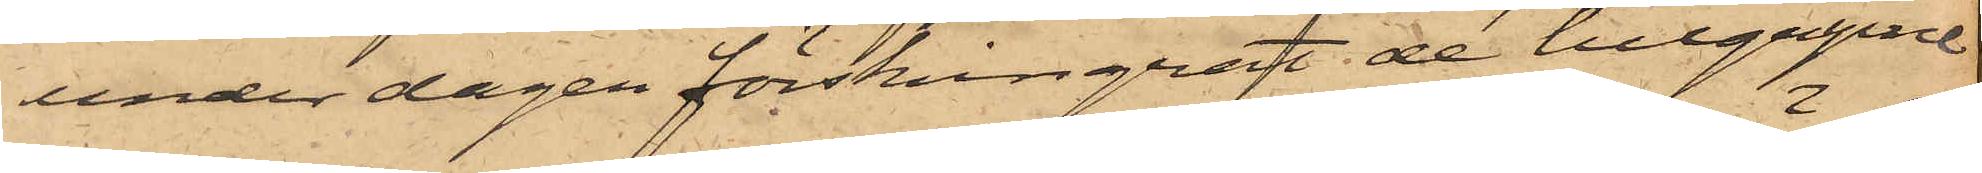under dagen förskingrat de tillgripne
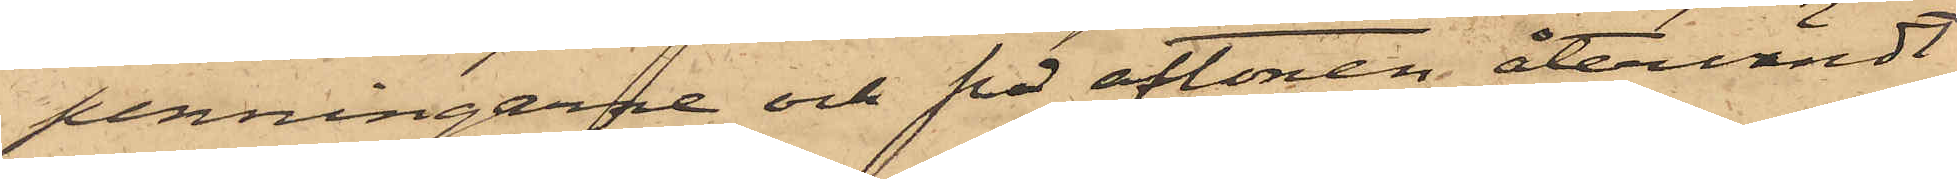penningarne och på aftonen återvändt
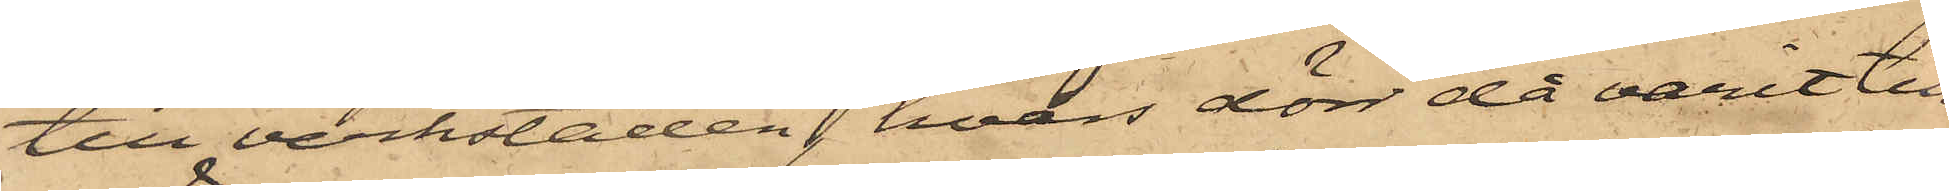till verkstaden, hvars dörr då varit till¬
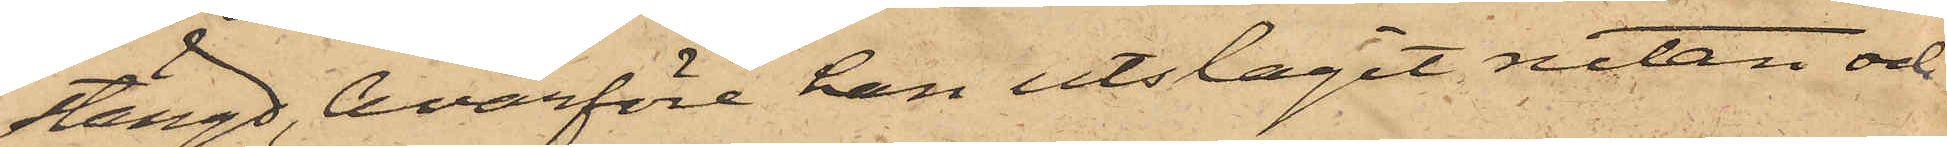stängd, hvarföre han utslagit rutan och
